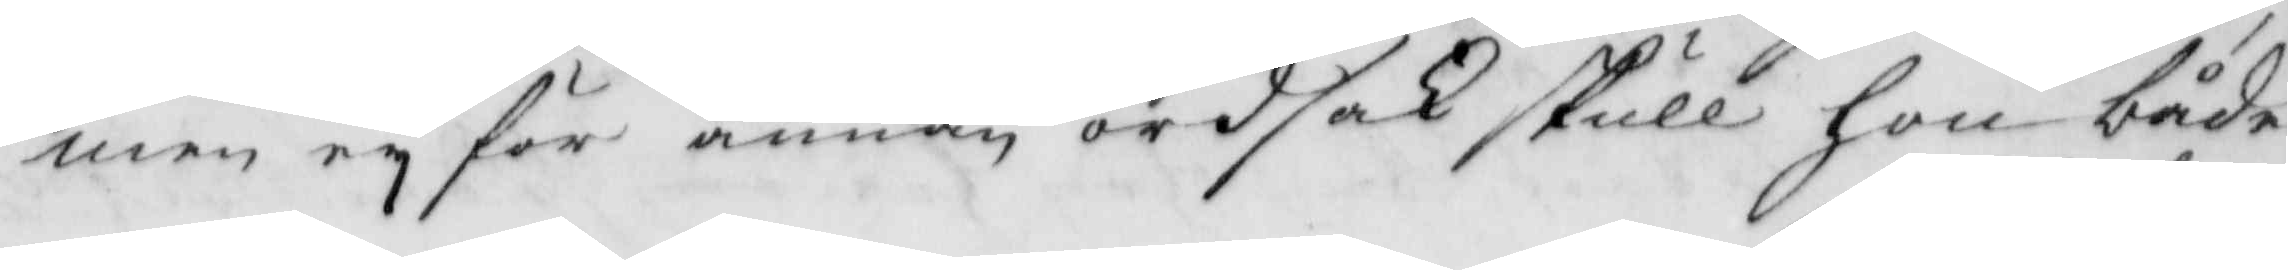men ey för annan ordsak skull hon både
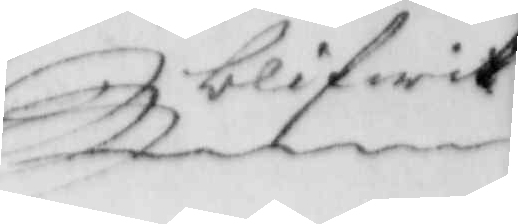blifwit
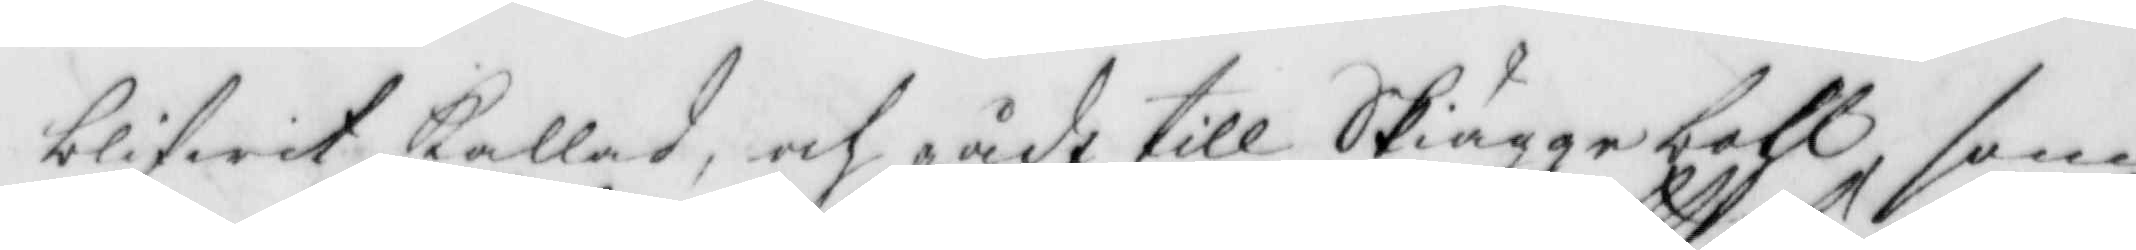blifwit kallad, och gådt till Skiäggebohl, som
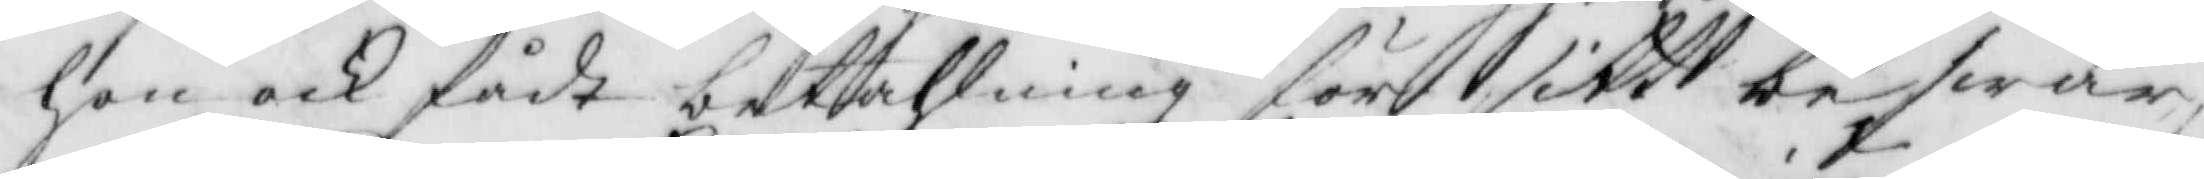hon och fådt betahlning för sitt beswär
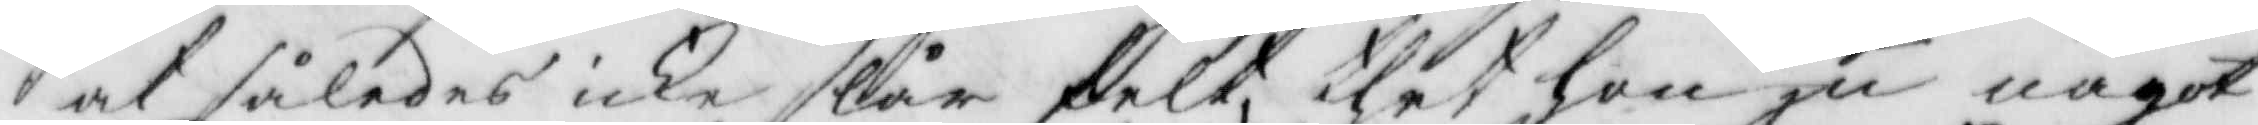at således icke slår felt, thet hon ju något
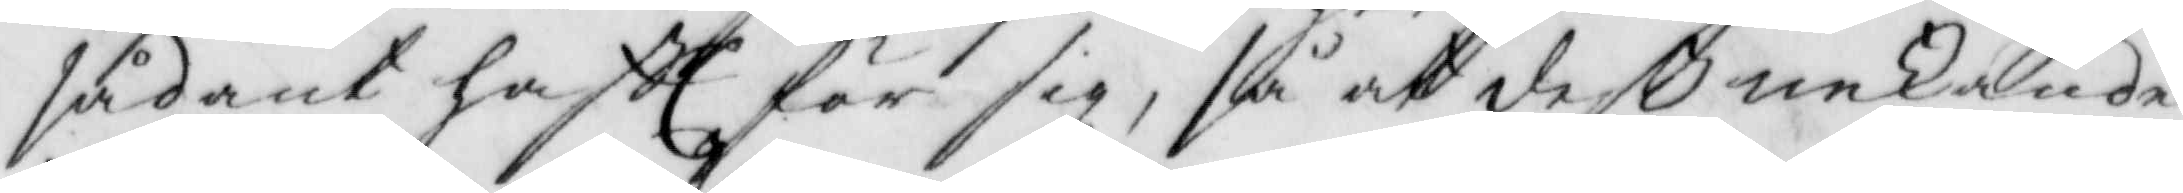sådant haftt för sig, så att deß nekande
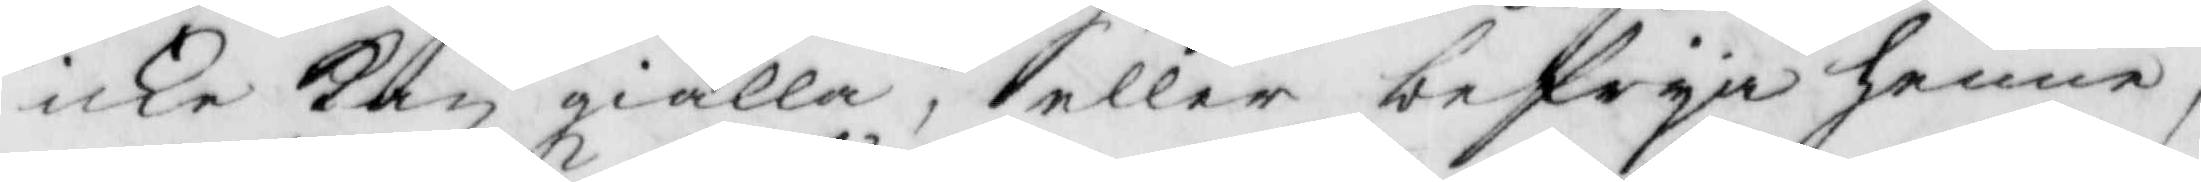icke kan giälla, eller befrya henne,
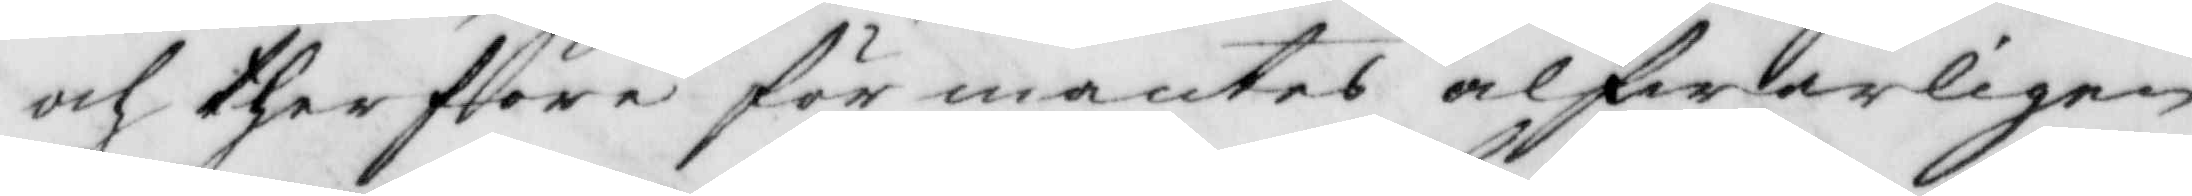och therfföre förmantes alfwarligen
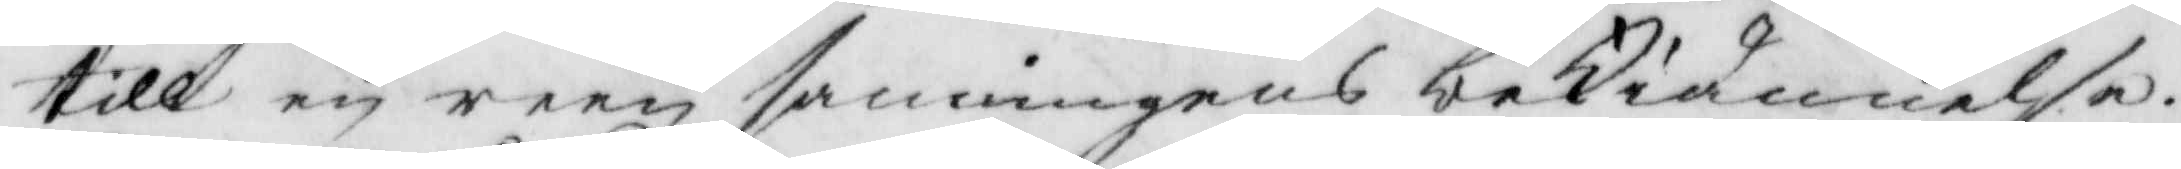till en reen sanningens bekiännelse.
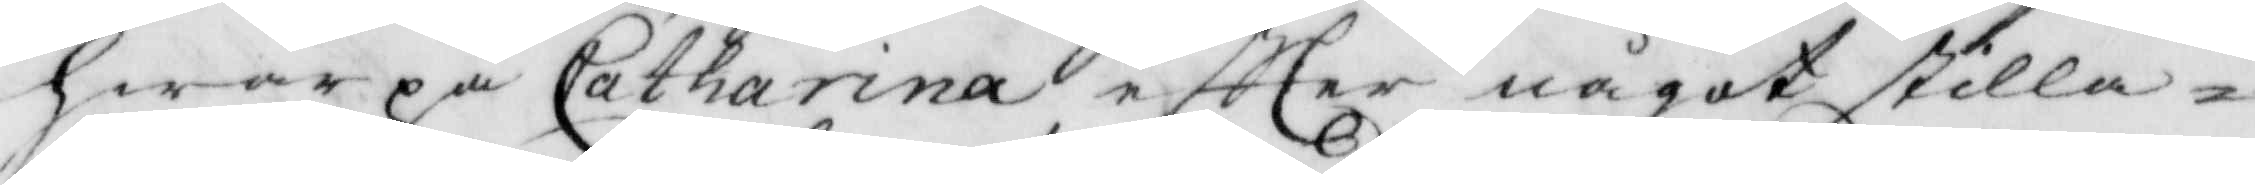hwarpå Catharina eftter något stilla¬
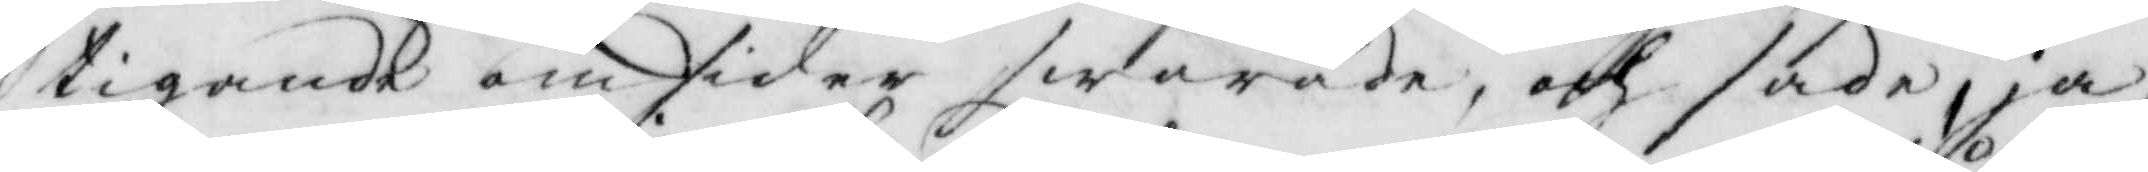tigande om sider swarade, och sade ja
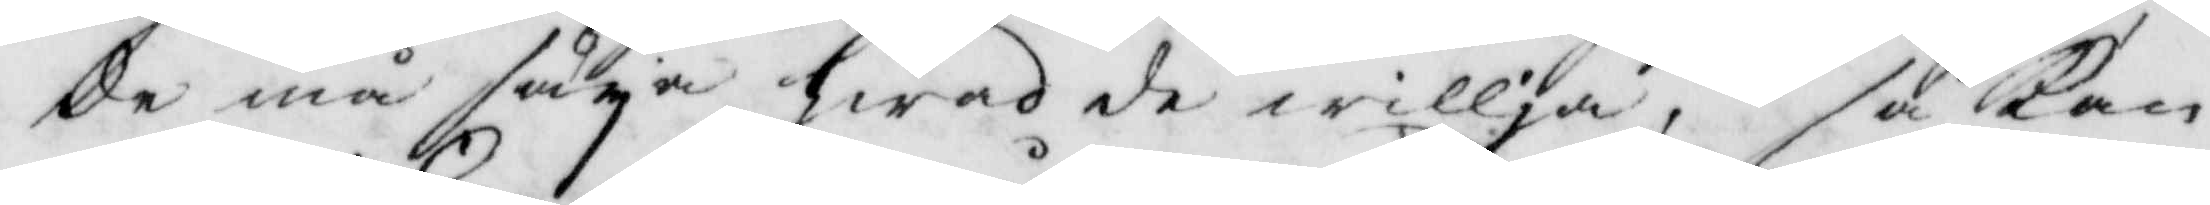de må säya hwad de willja, så kan
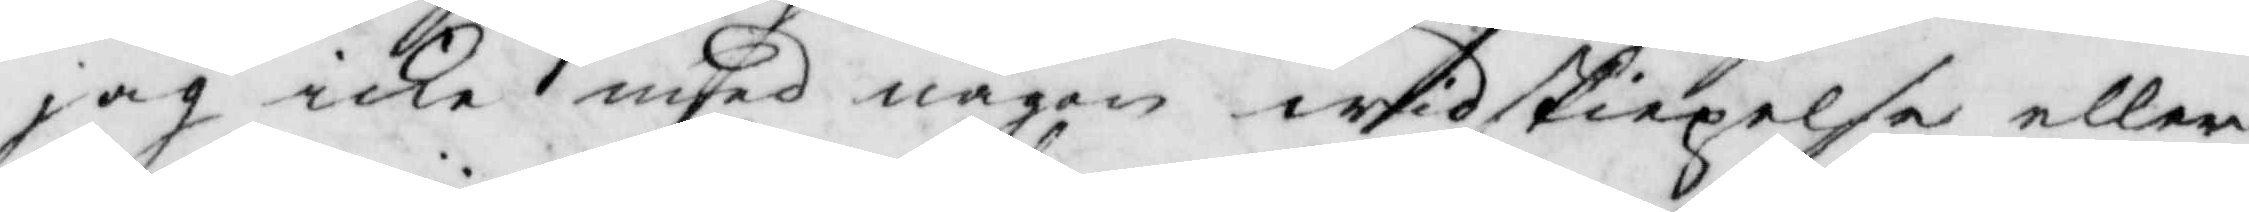jag icke mhed någon widskiepelse eller
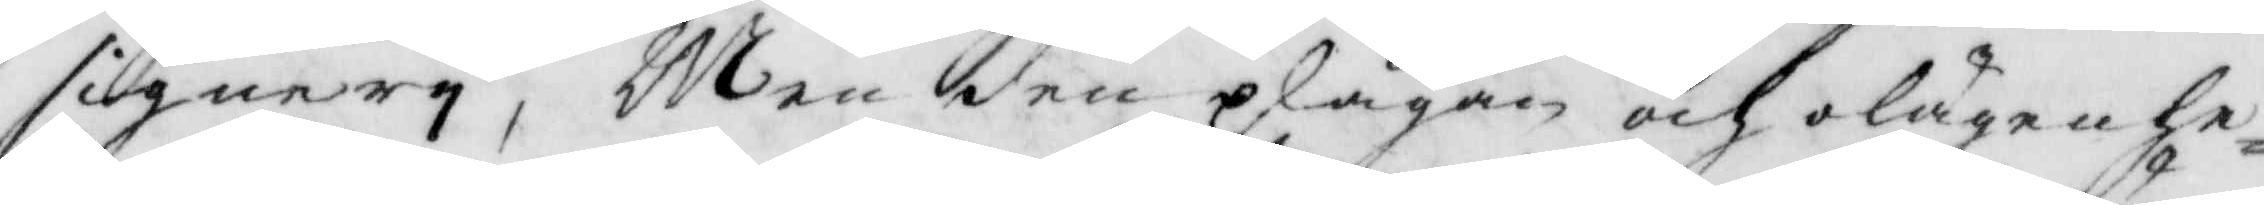signery, Men den plågan och olägenhe¬
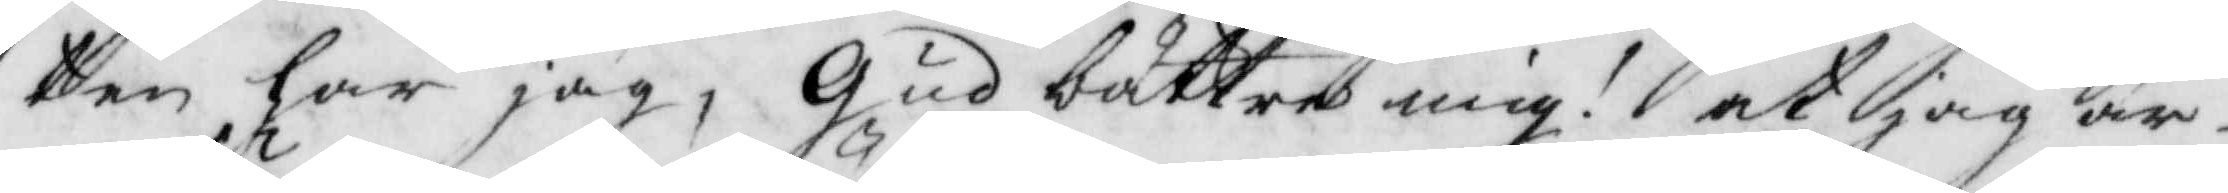ten har jag, Gud bättre mig? at jag är¬
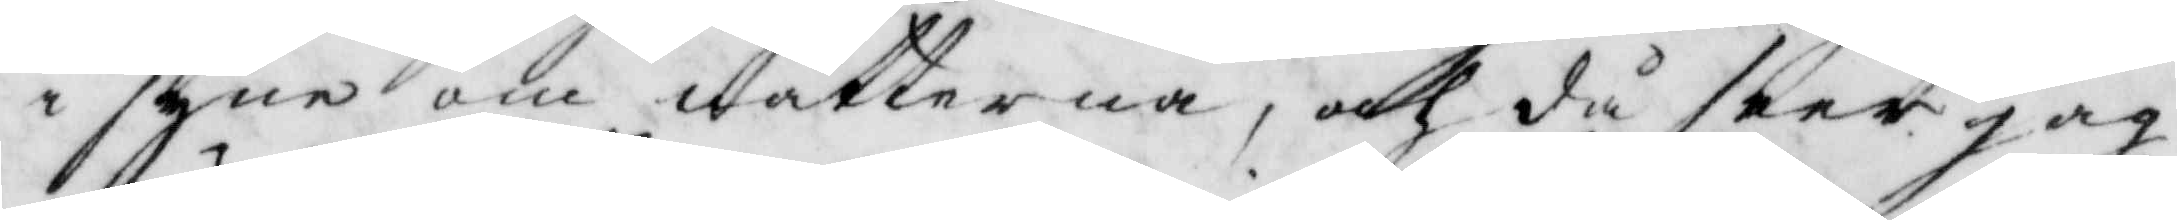i syne om nätterna, och då seer jag
